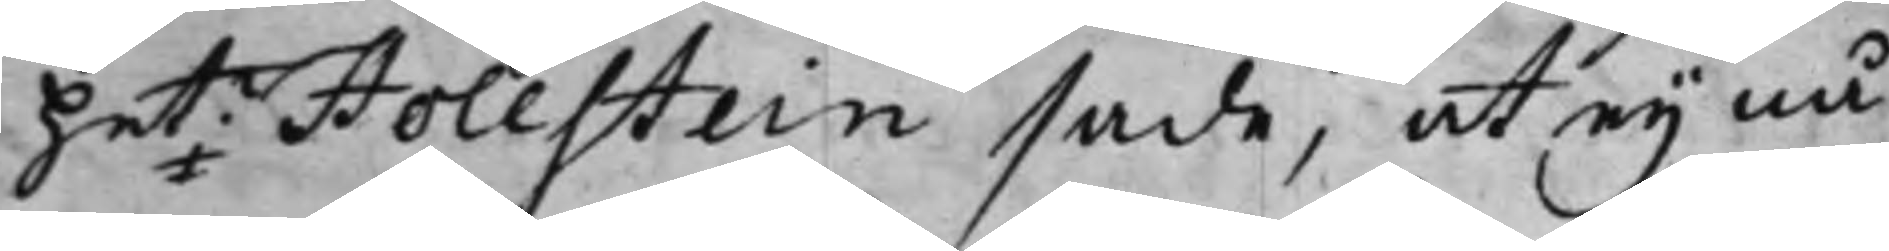het: Hollstein sade, at ey nå¬
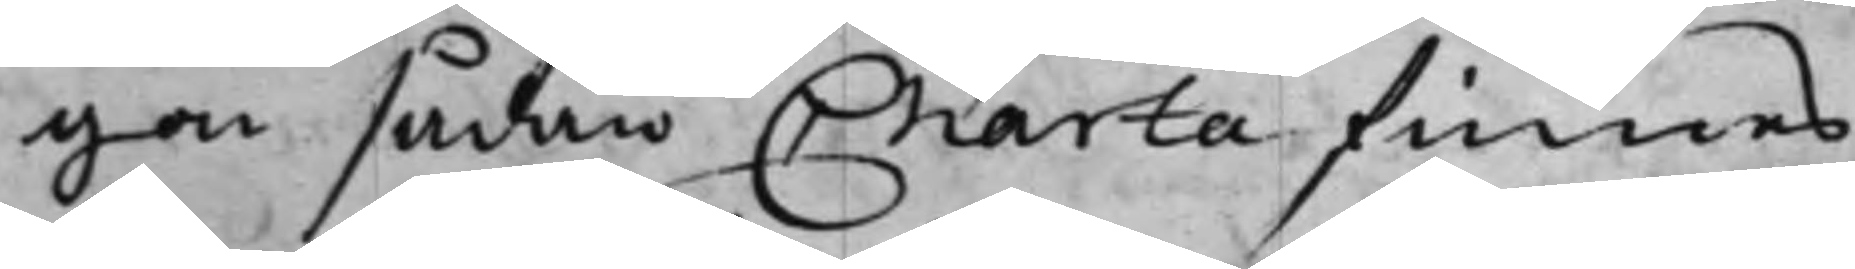gon sådan Charta finnes.
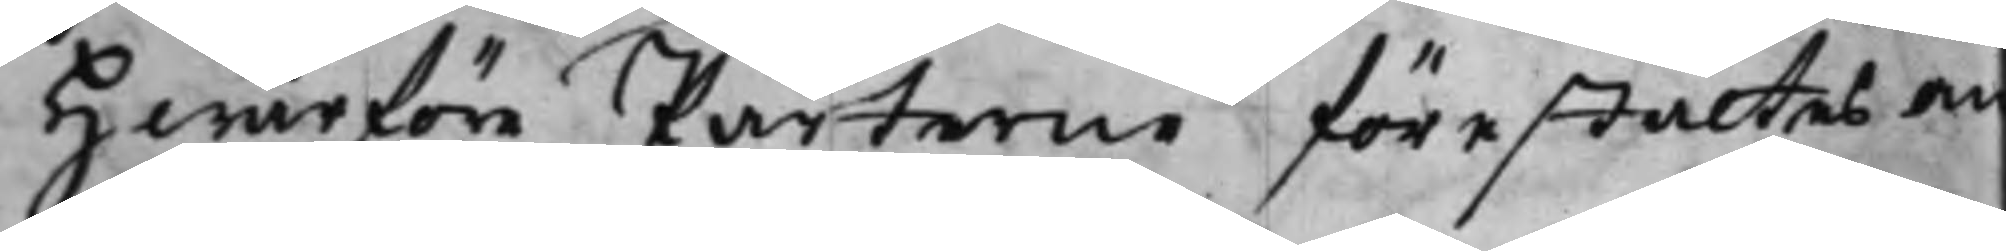Hwarföre Parterne förestältes om
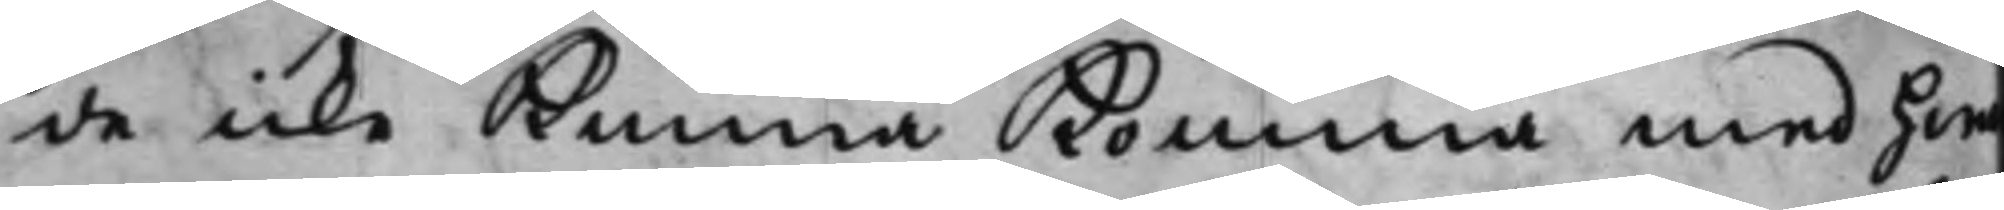de icke kunna komma med hwa¬
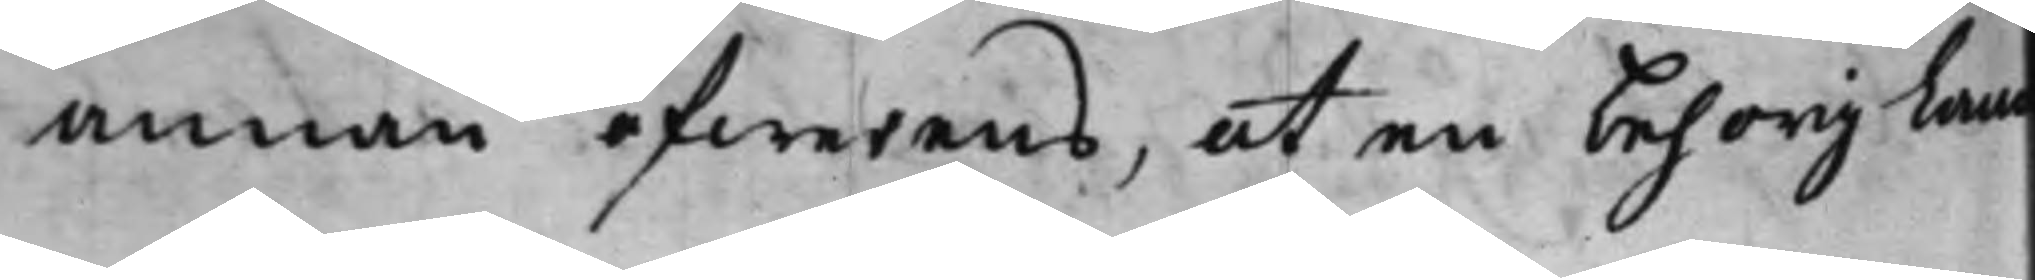annan öfwerens, at en behorig Land
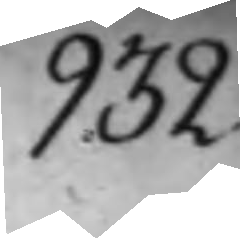932.
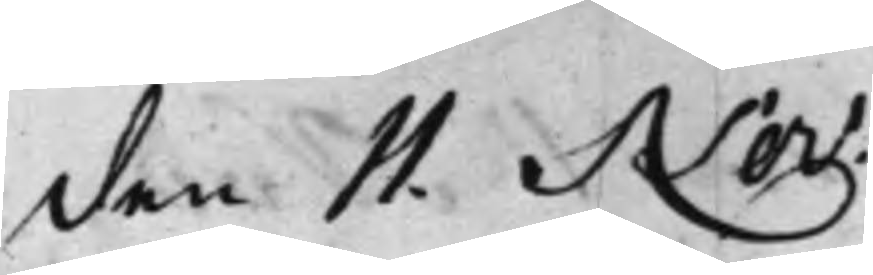den 11. Nov.
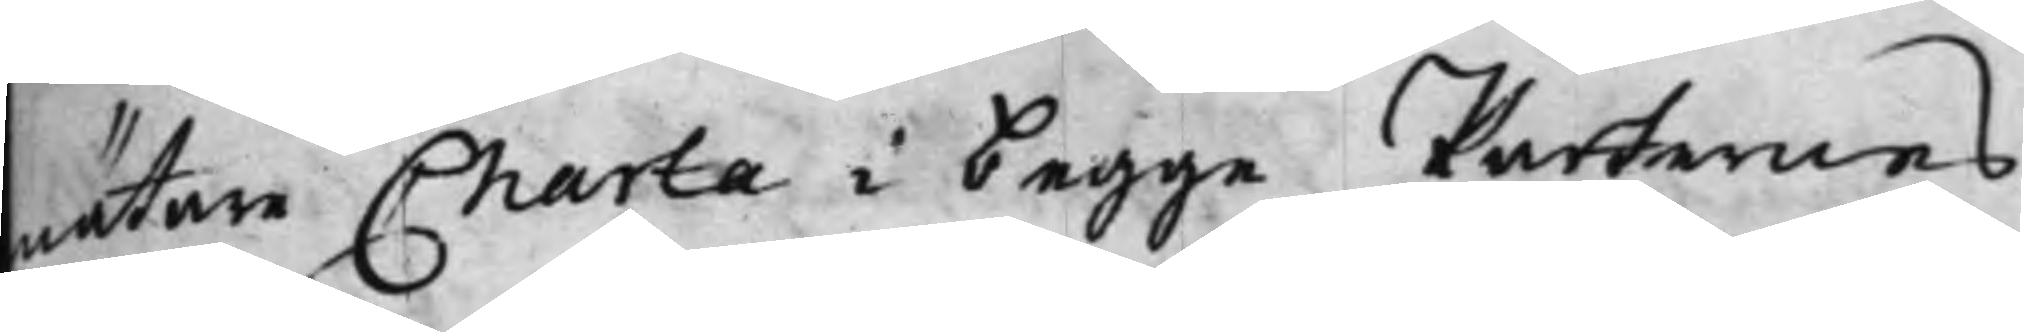mätare Charta i begge Parternes
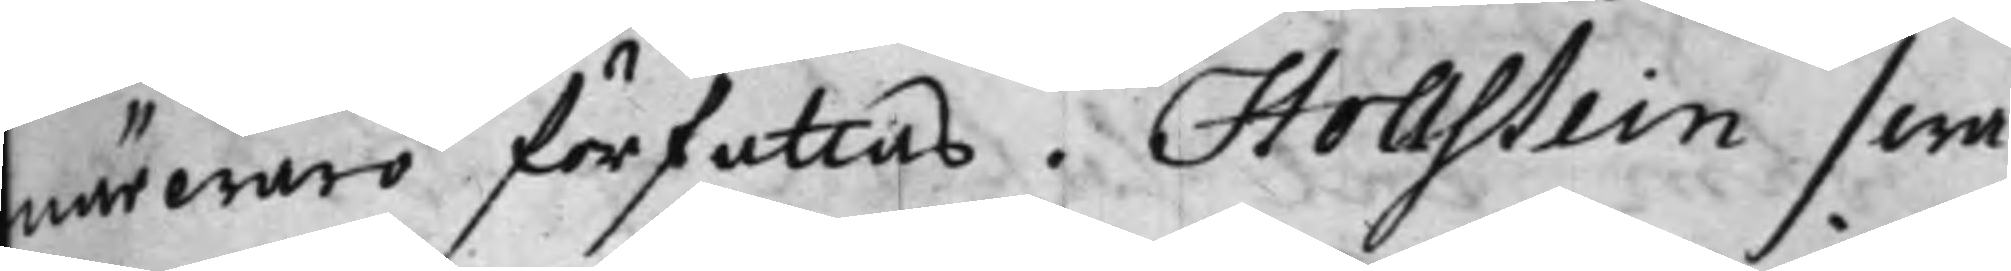närwaro författas. Hollstein swa¬
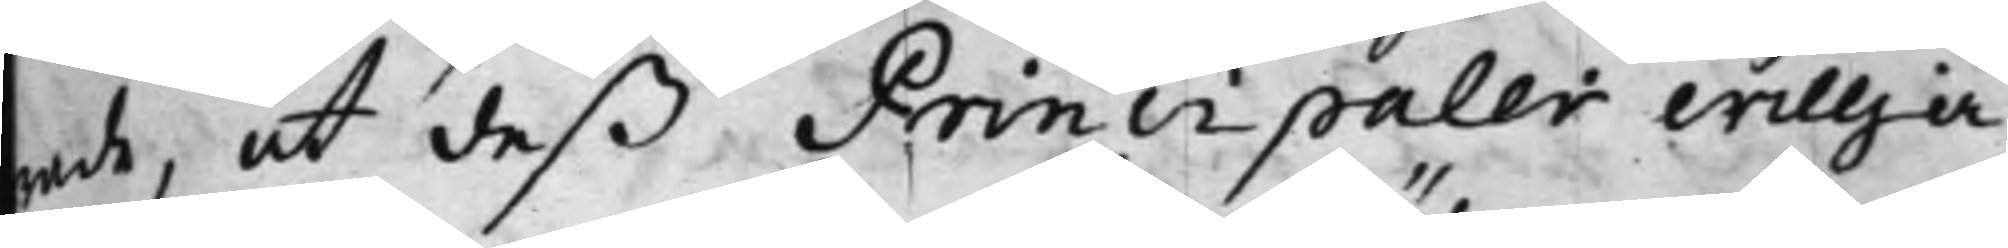rade, att deß Principaler willja
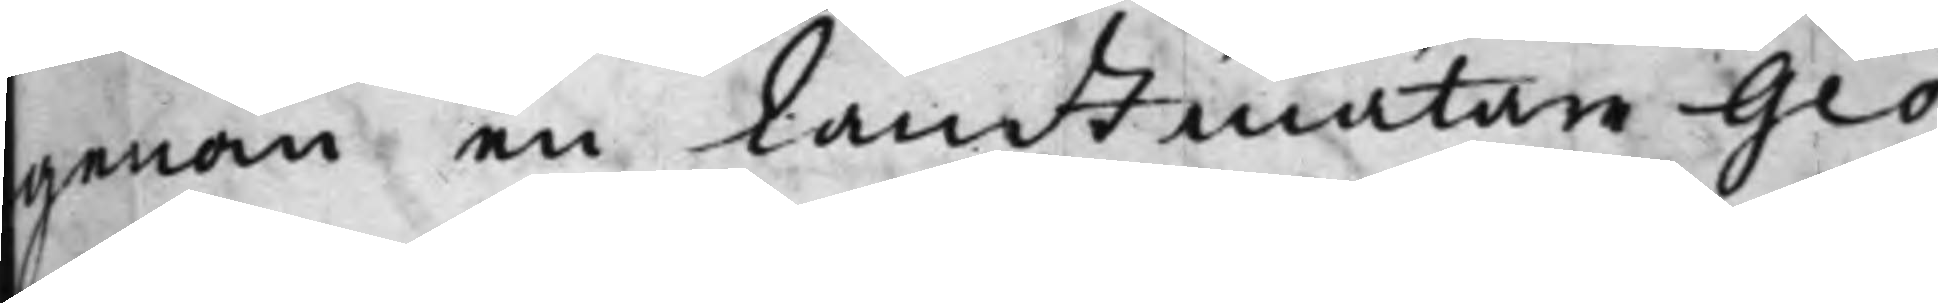genom en Landtmätare Geo¬
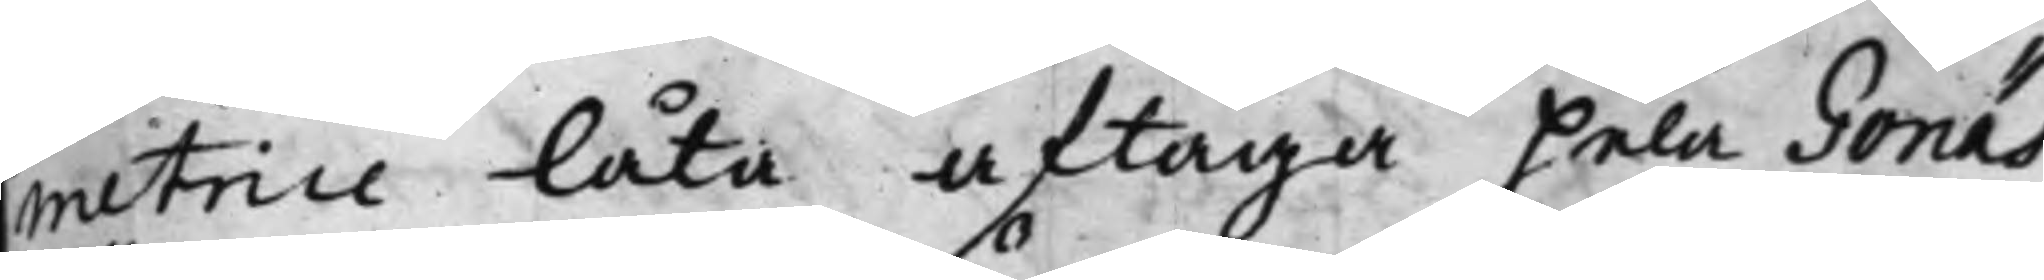metrice låta aftaga hela Gonäs
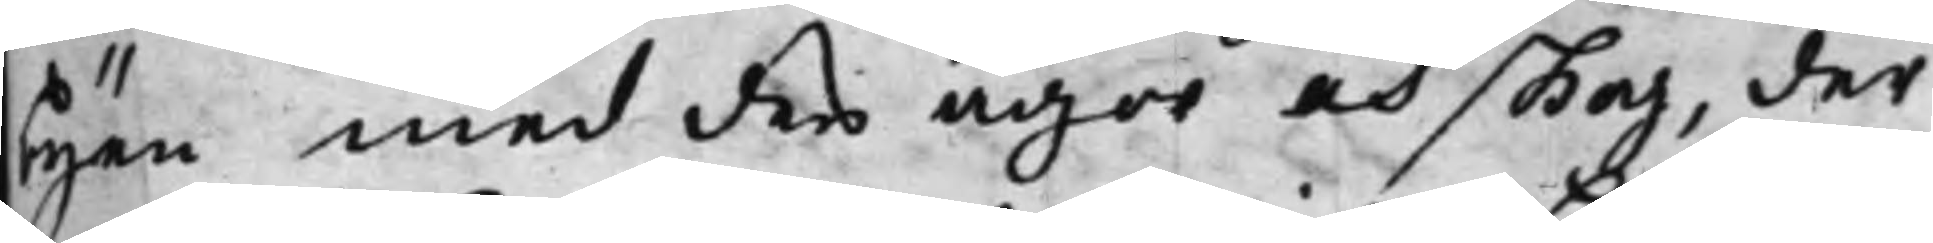byen med des ägor och skog, der
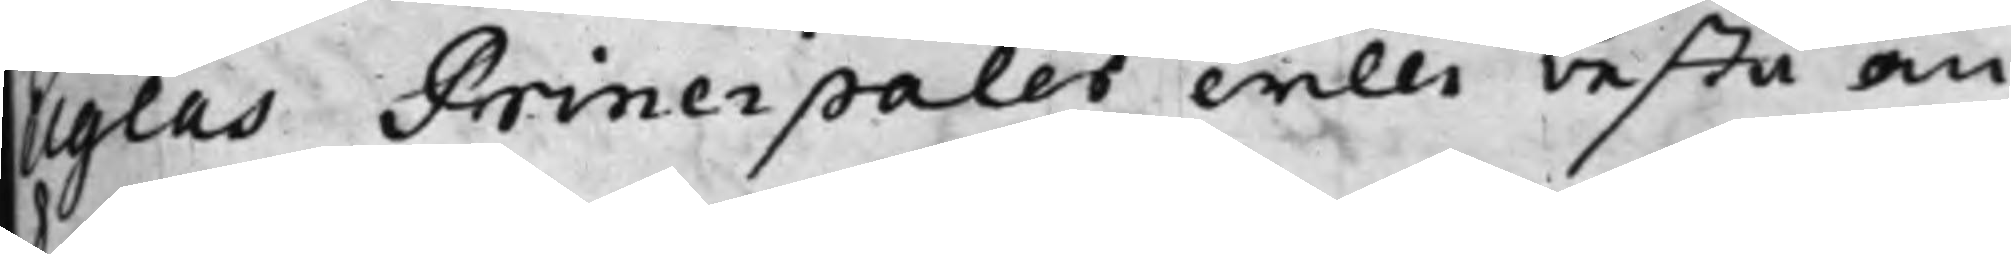Uglas Principaler wille bestå om
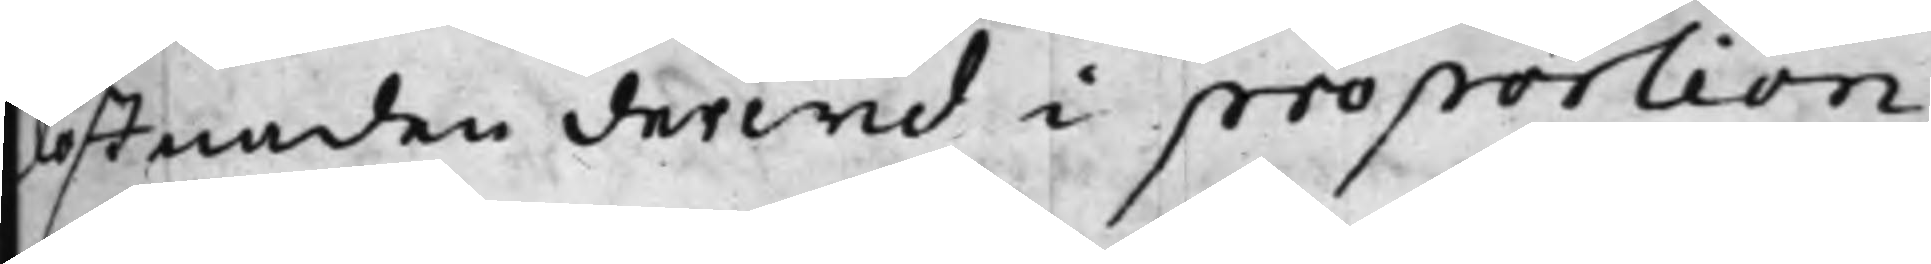kostnaden derwid i proportion
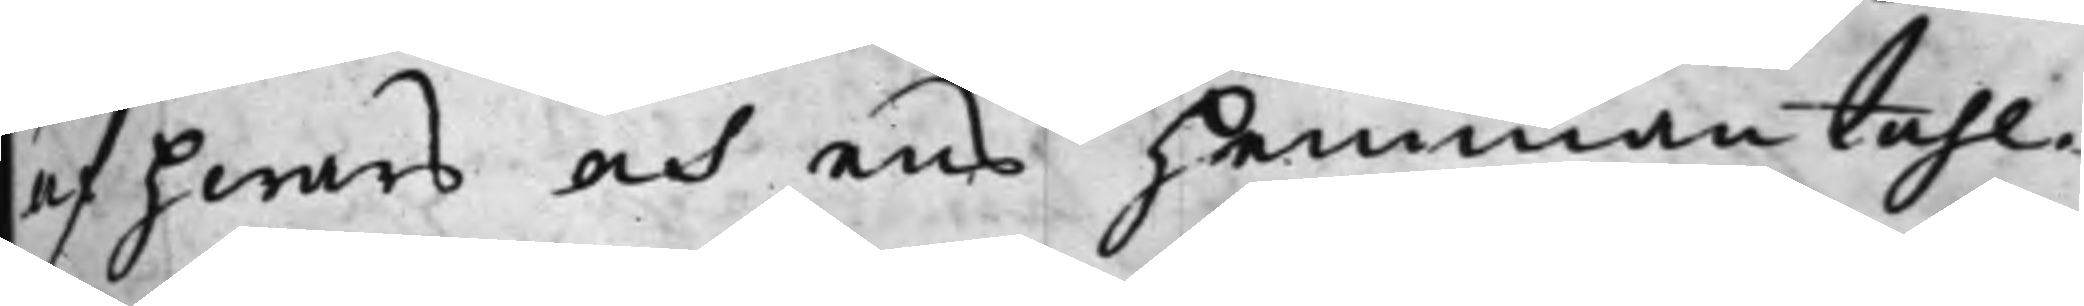af hwars och ens hemmantahl.
